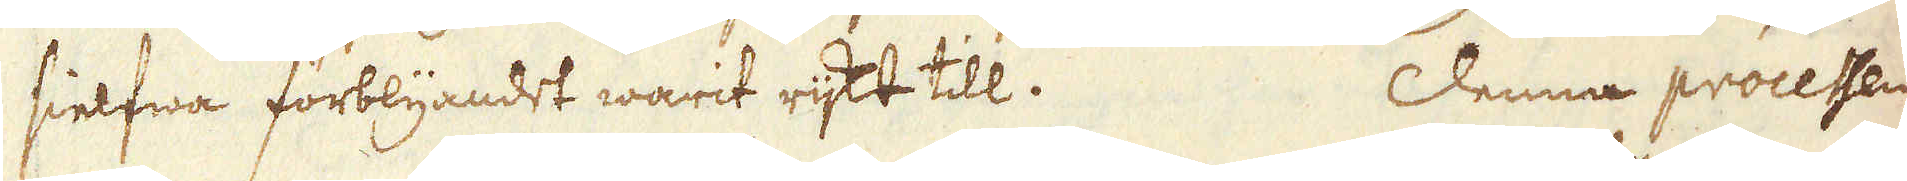sielfwa förblyandet warit rijkt till. Denna processen
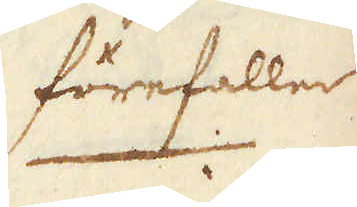förefaller
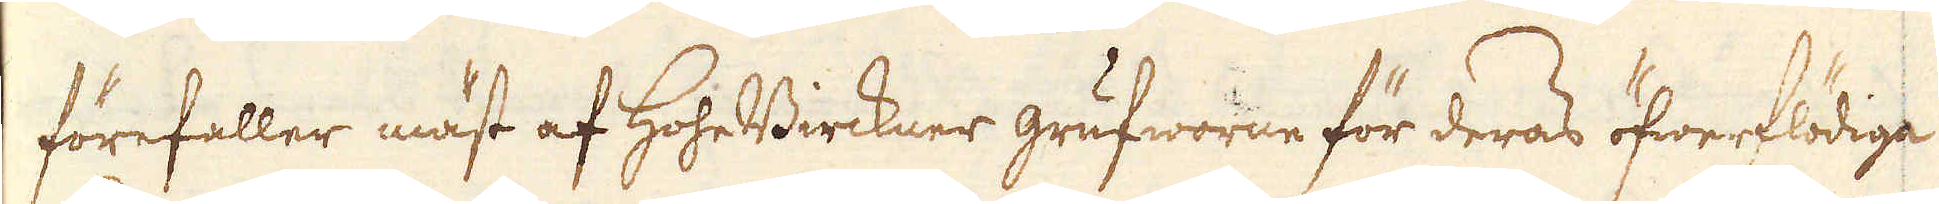förefaller mäst af HoheBirckner grufworne för deras öfwerflödiga
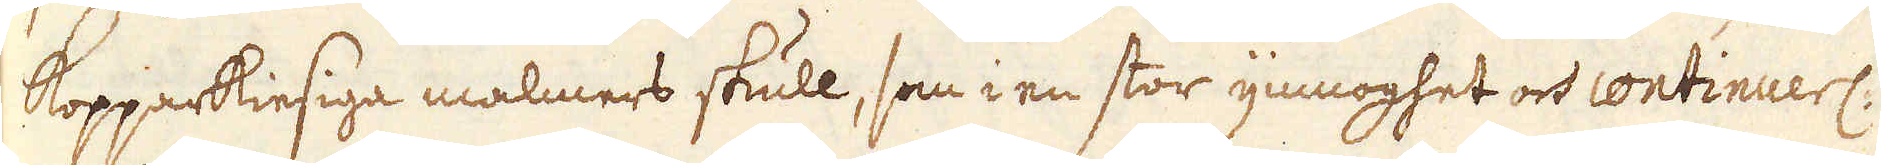Kopparkiesiga malmers skull, som i en stor ymnoghet och continuerl:
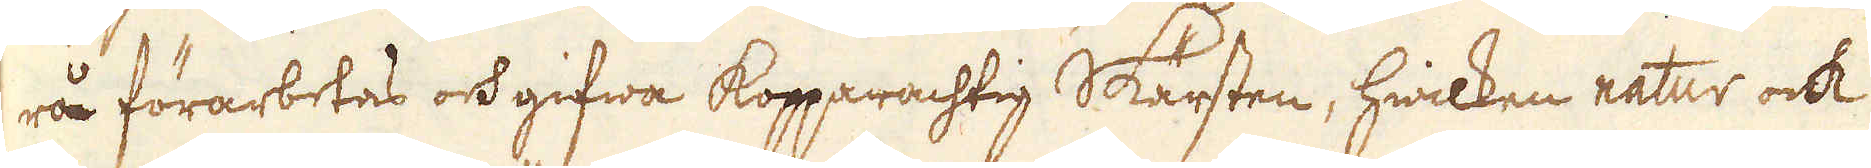rå förarbetas och gifwa Kopparachtig Skärsten, hwilken natur ock
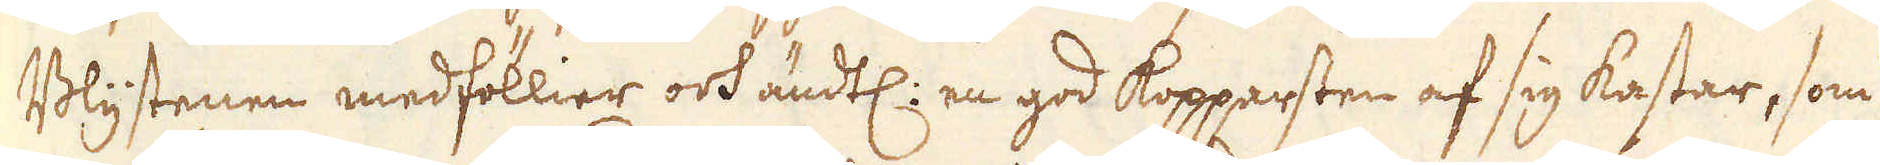Blystenen medföllier och ändtl: en god kopparsten af sig kastar, som
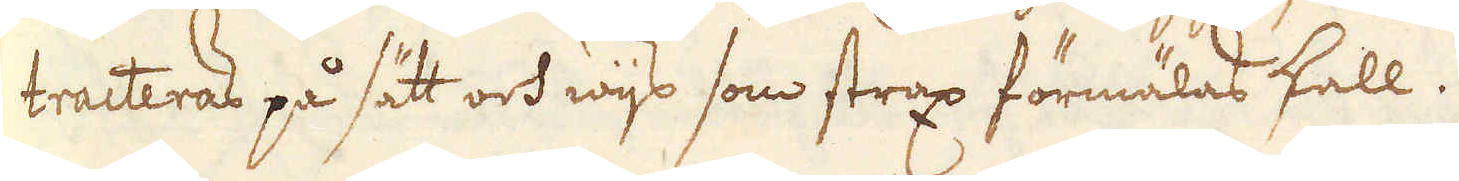tracteras på sätt och wijs som strax förmälas skall.
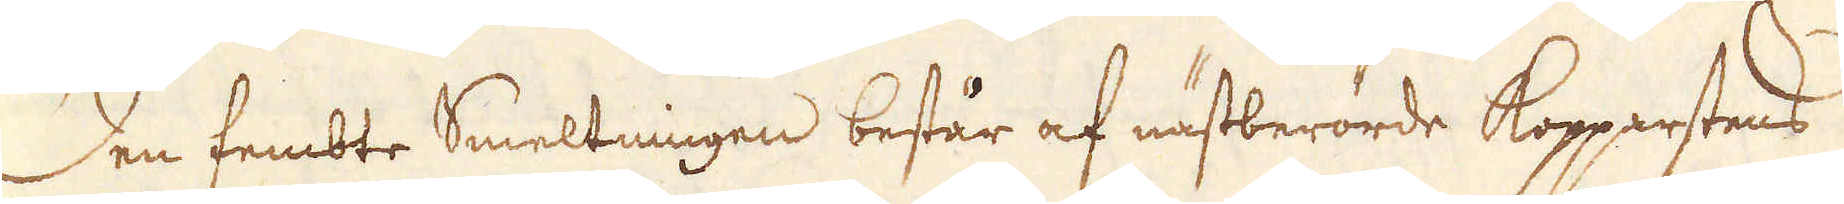Den fembte Smeltningen består af nästberörde Kopparstens
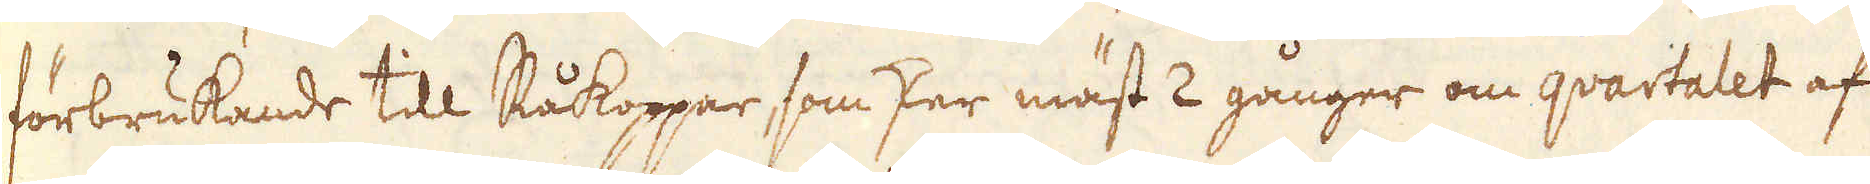förbrukande till Råkoppar, som sker mäst 2 gånger om qvartalet af
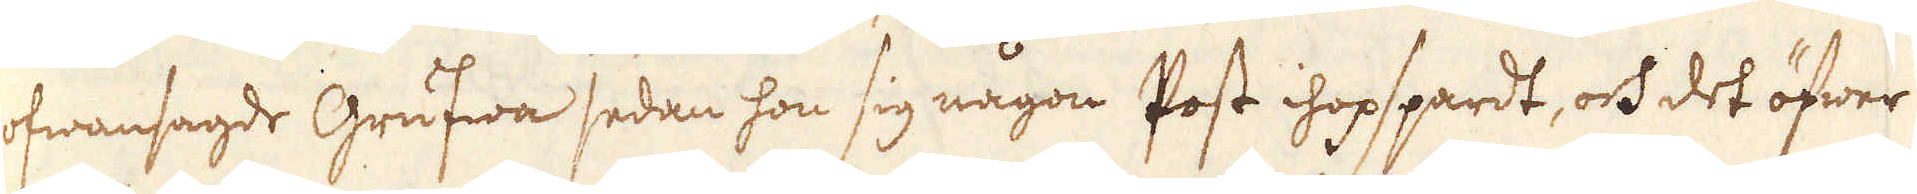ofwansagde Grufwa sedan hon sig någon Post ihopspardt, och det öfwer
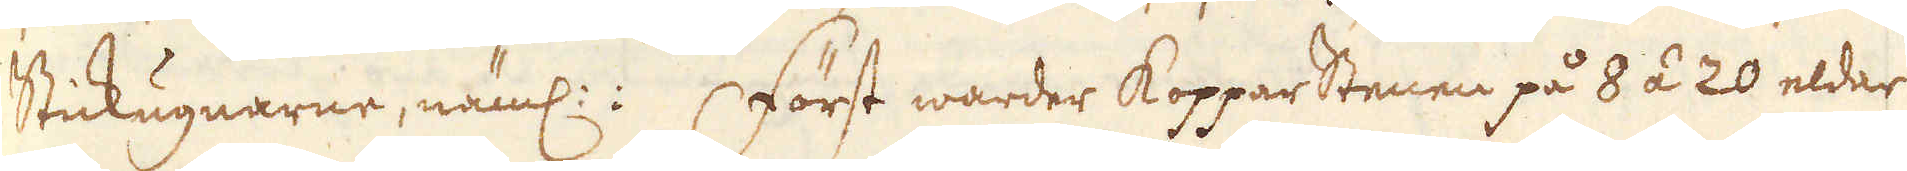Stickugnarne, näml:: Först warder Kopparstenen på 8 á 20 eldar
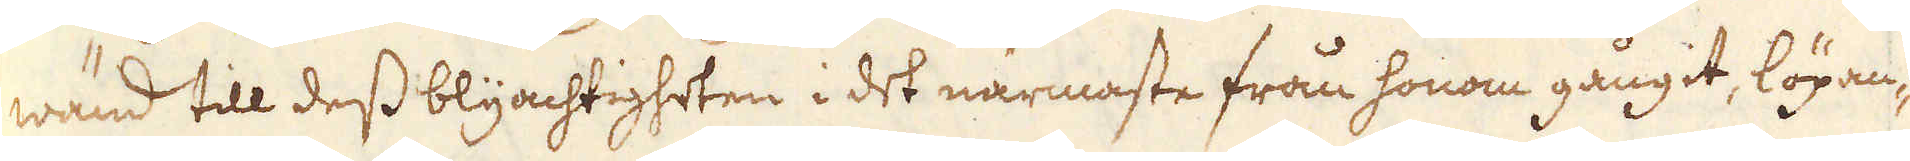wänd till dess blyachtigheten i det närmaste från honom gångit, löpan-
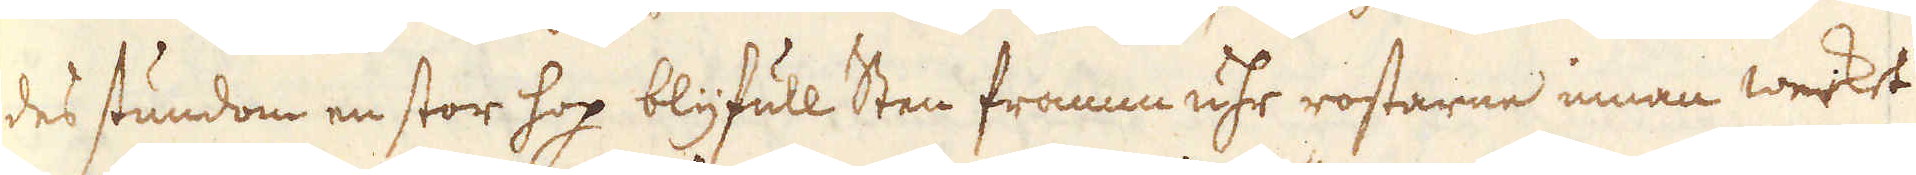des stundom en stor hop blyfull Sten framm uhr rostarne innan werket
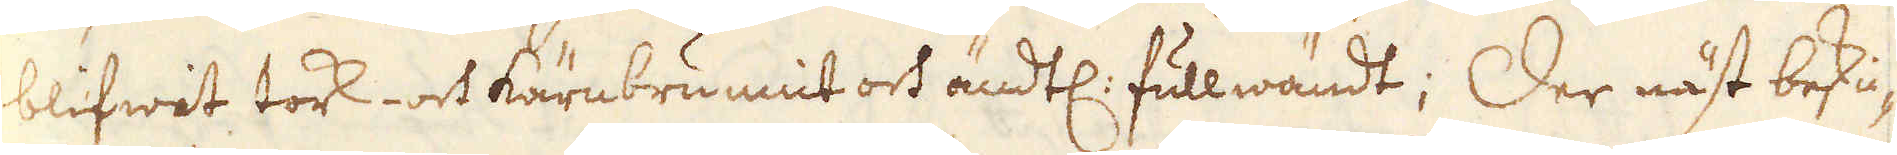blifwit tork- och kärnbrunnit och ändtl: fullwändt; Der näst beskic-
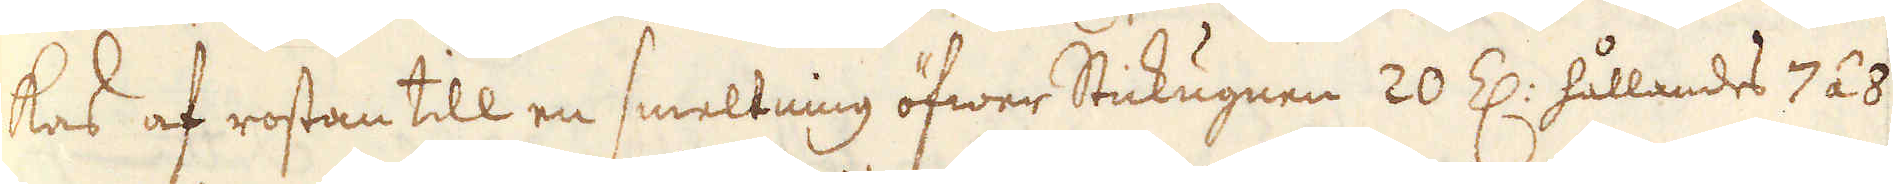kas af rostan till en smeltning öfwer Stickugnen 20 Z: hållandes 7 á 8
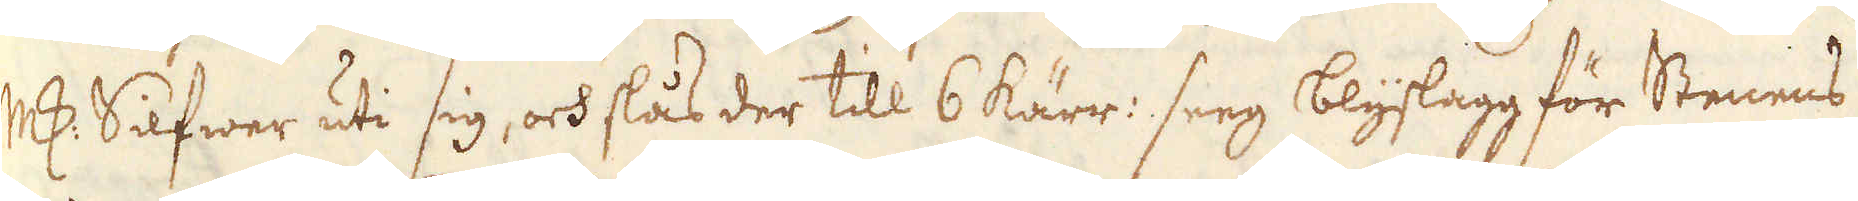marker Silfwer uti sig, och slås der till 6 kärr: seeg blyslagg för Stenens
